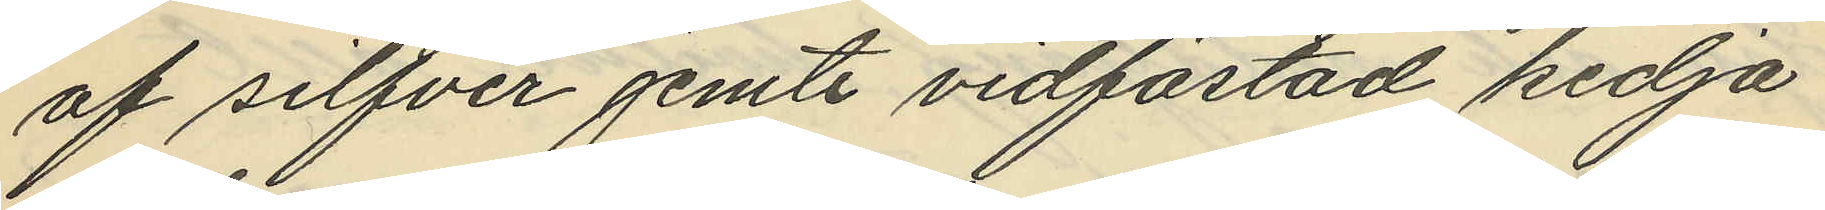af silfver jemte vidfästad kedja
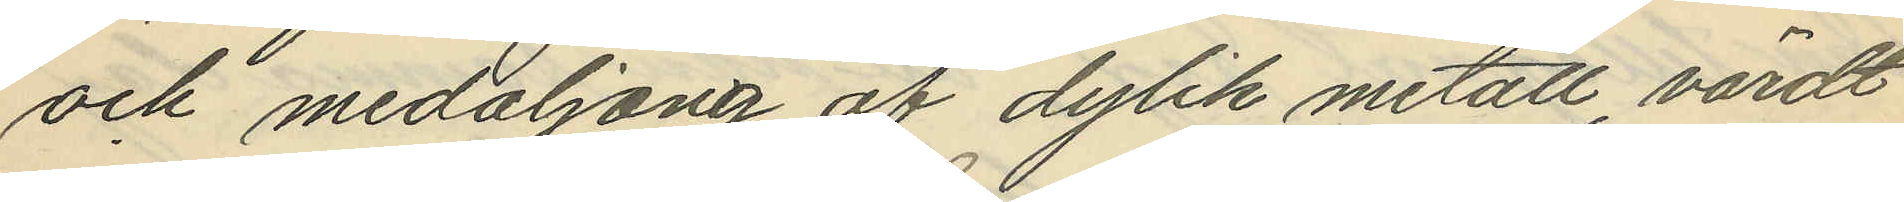och medaljong af dylik metall, värdt
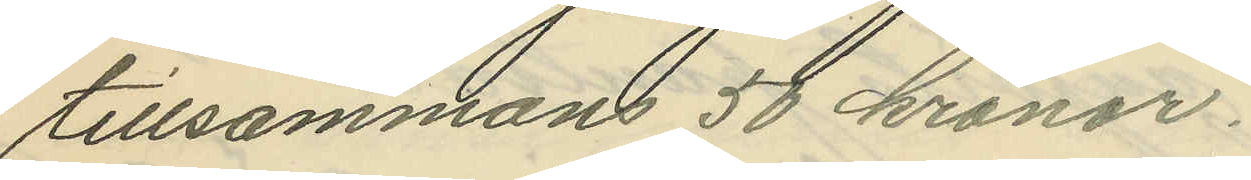tillsammans 50 kronor.
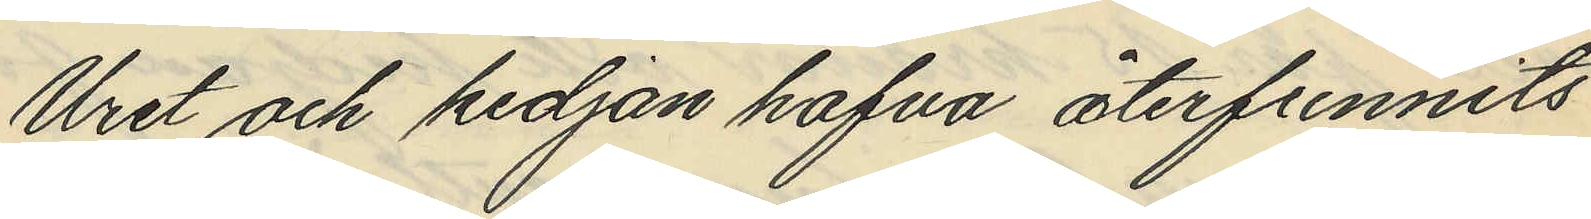Uret och kedjan hafva återfunnits
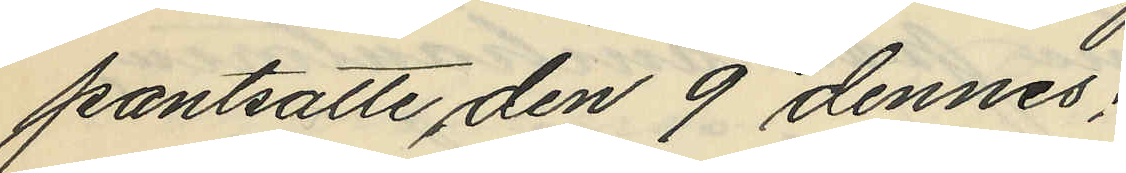pantsatte den 9 dennes;
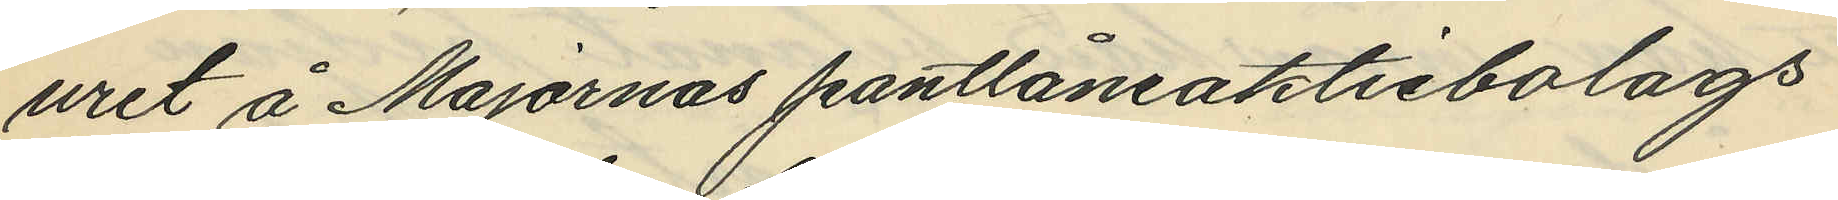uret å Majornas pantlåneaktiebolags
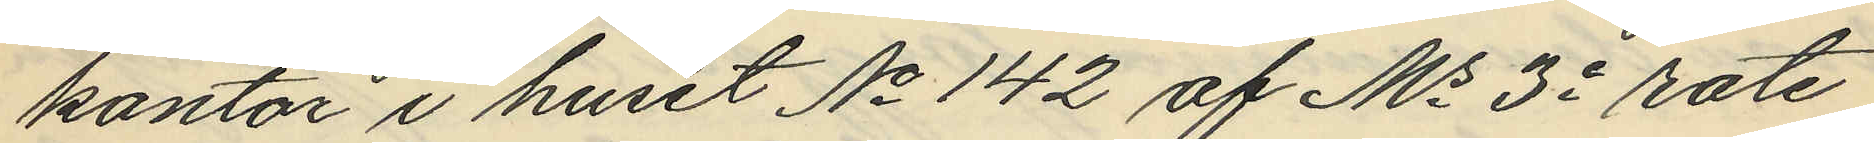kontor i huset No 142 af Ms 3e rote
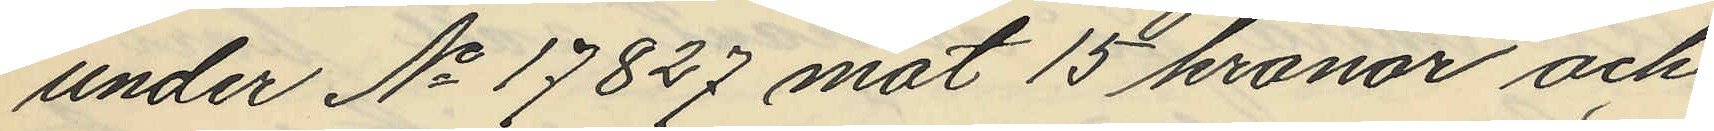under No 17827 mot 15 kronor och
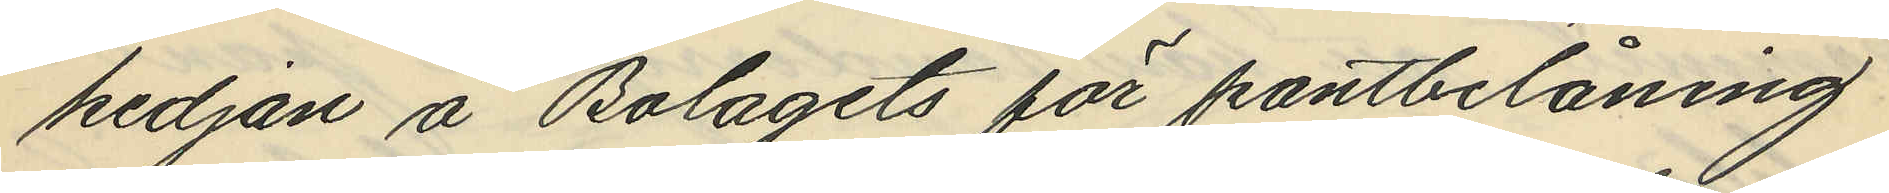kedjan å Bolagets för pantbelåning
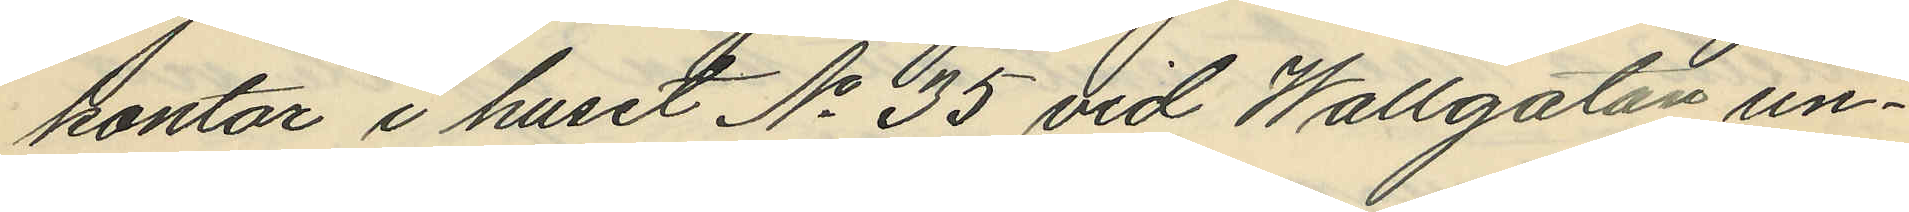kontor i huset No 35 vid Wallgatan un¬
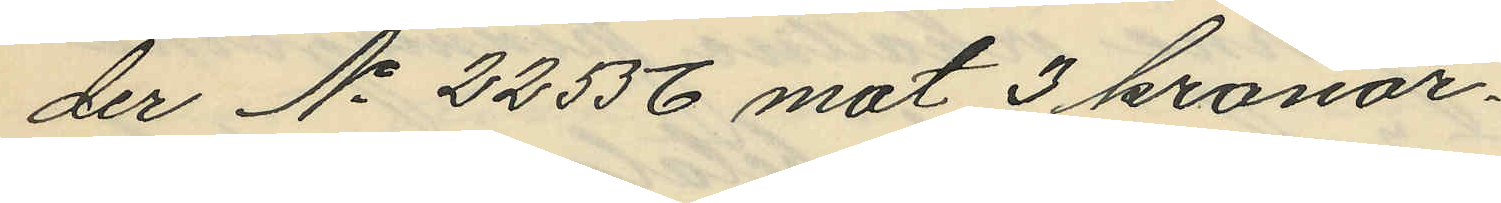der No 22556 mot 3 kronor.
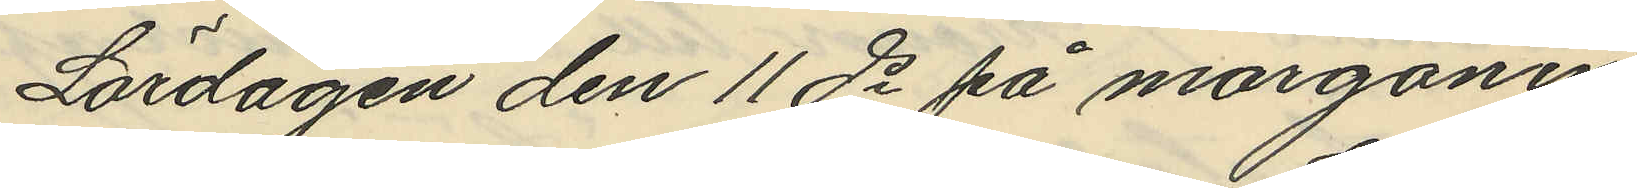Lördagen den 11 ds på morgonen
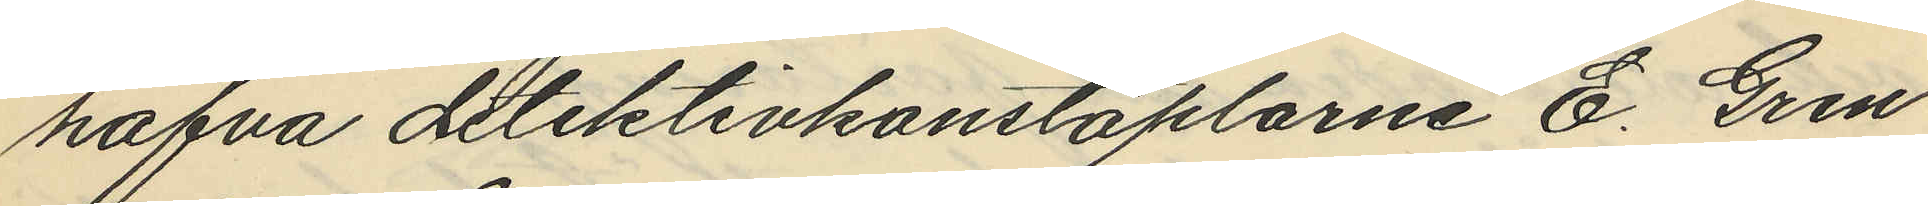hafva detektivkonstaplarne E. Gren
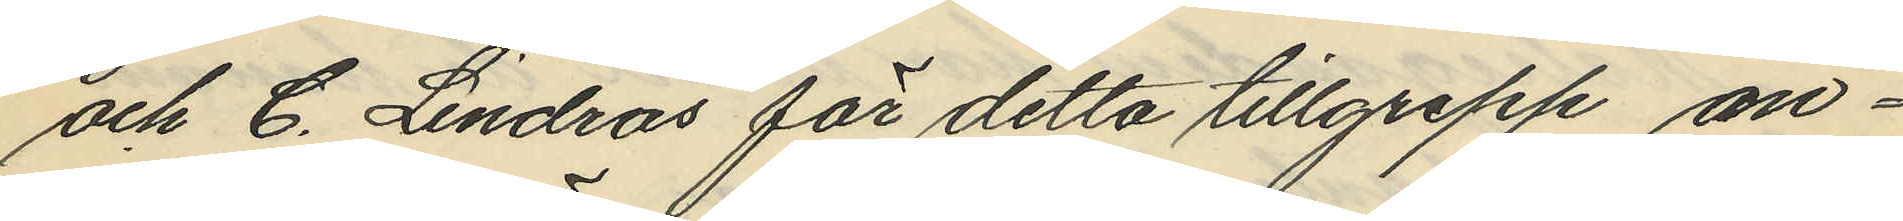och C. Lindros för detta tillgrepp an¬
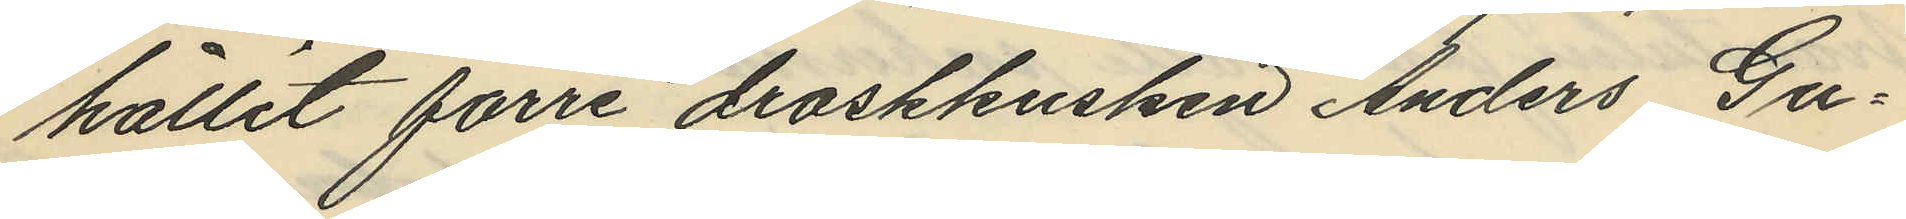hållit förre droskkusken Anders Gu¬
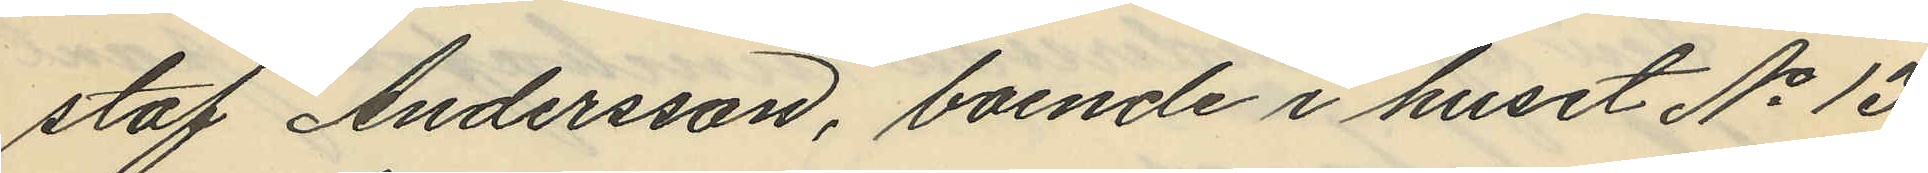staf Andersson, boende i huset No 13
